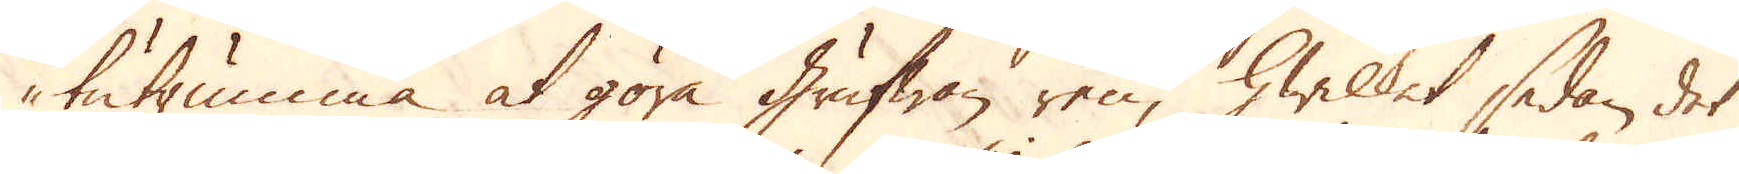tutrumma at göra Grufwan ren, hwilket sedan det
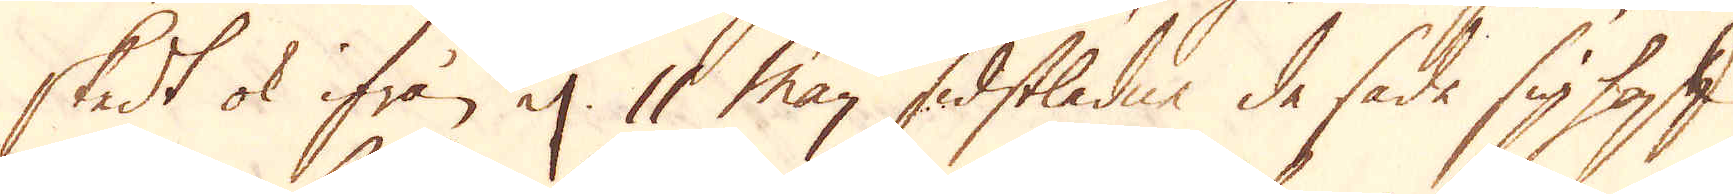skedt ok ifrån el. 11 Maij sidstledne de sade sig haft
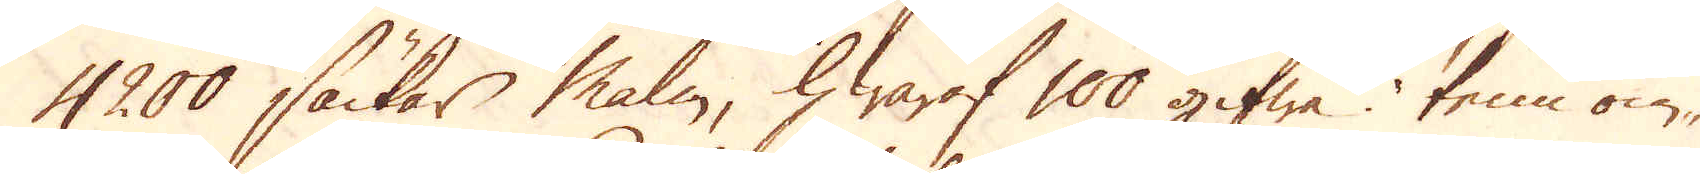4200 säckar malm, hwaraf 100 gifwa tenn om-
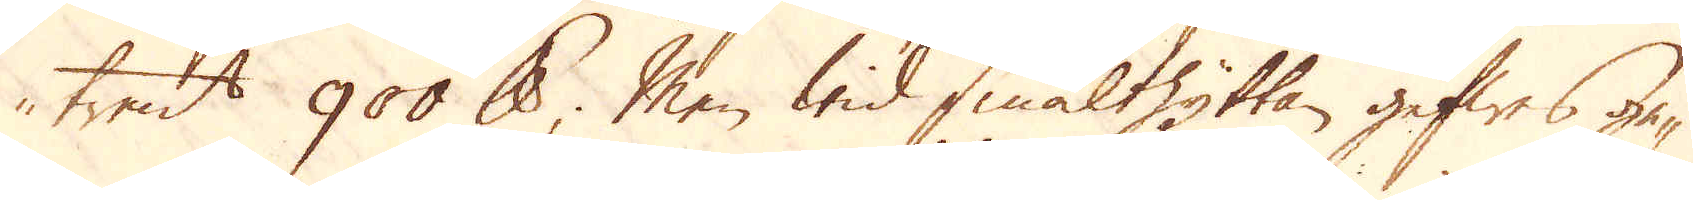trent 900 skålpund; Men wid smälthyttan gifwes ge-
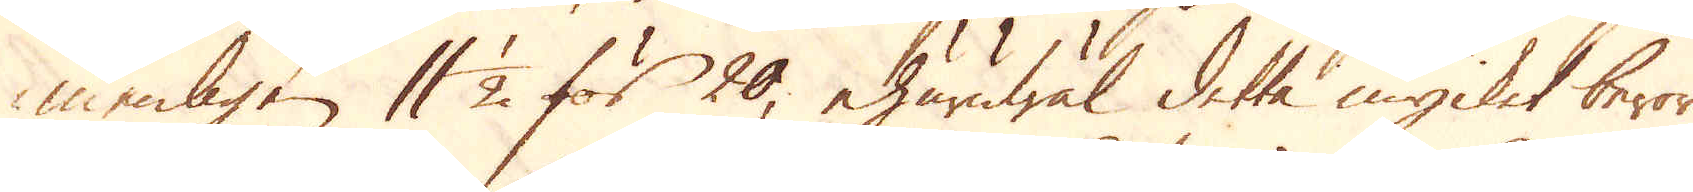menligen 11 1/2 för 20, ehuruwäl detta mycket beror
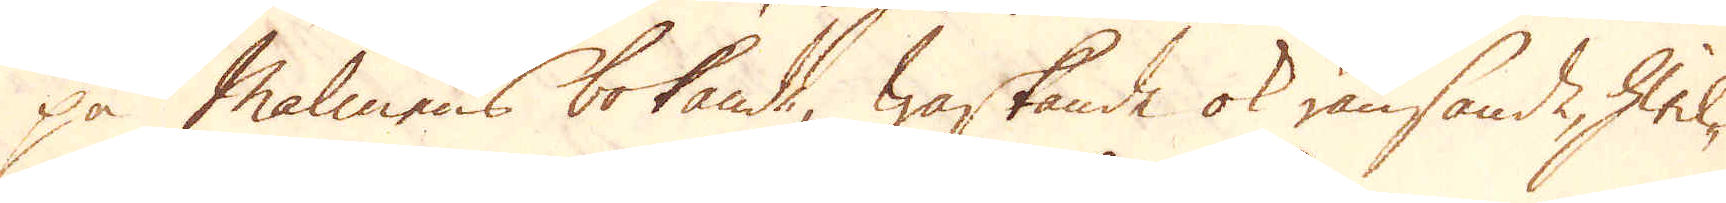på Malmens bokande, waskande ok ränsande, hwil-
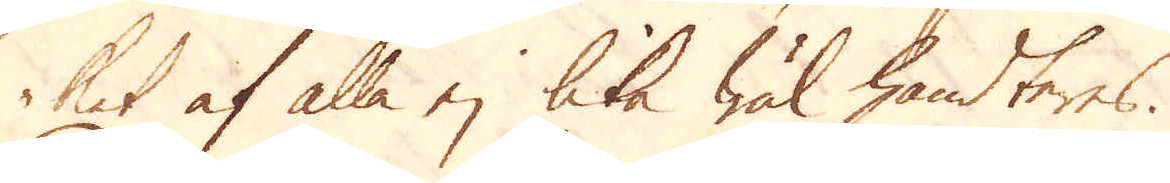ket af alla ej lika wäl handteres.
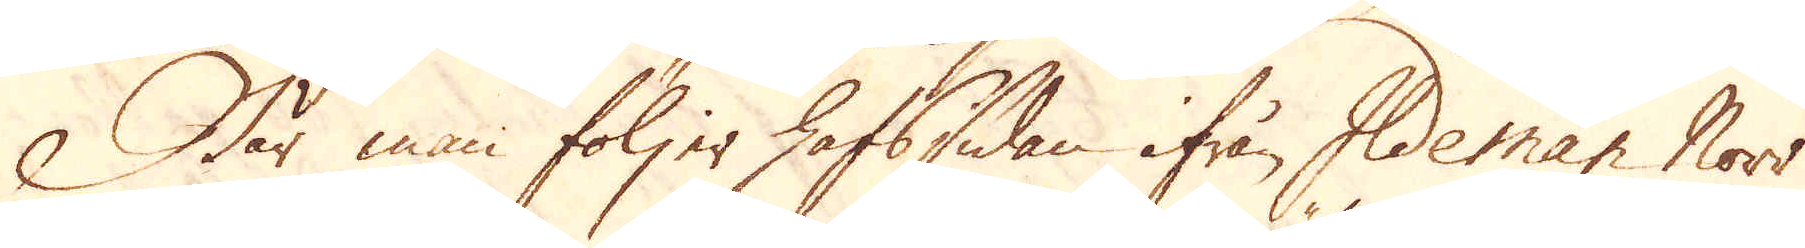När man följer hafssidan ifrån Ildeman Norr
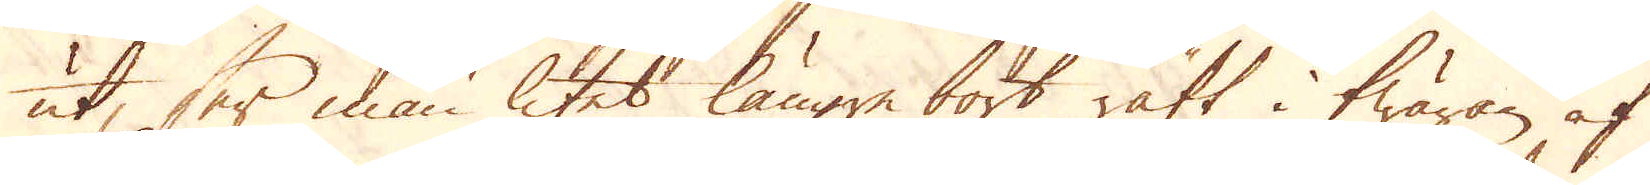ut, ser man litet längre bort rätt i twäran af
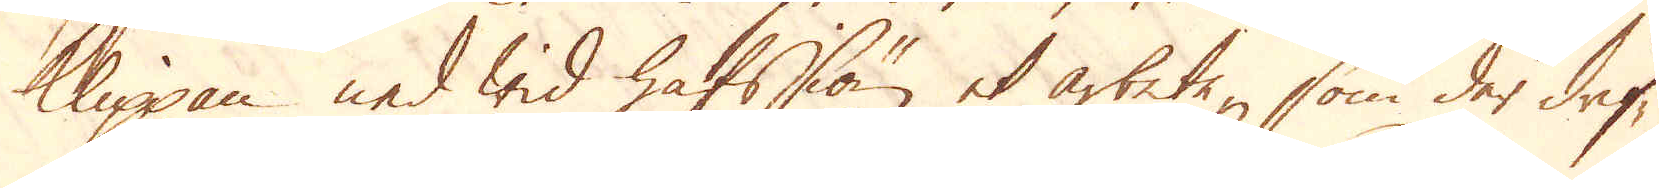klippan ned wid hafssiön et arbete, som der drif-
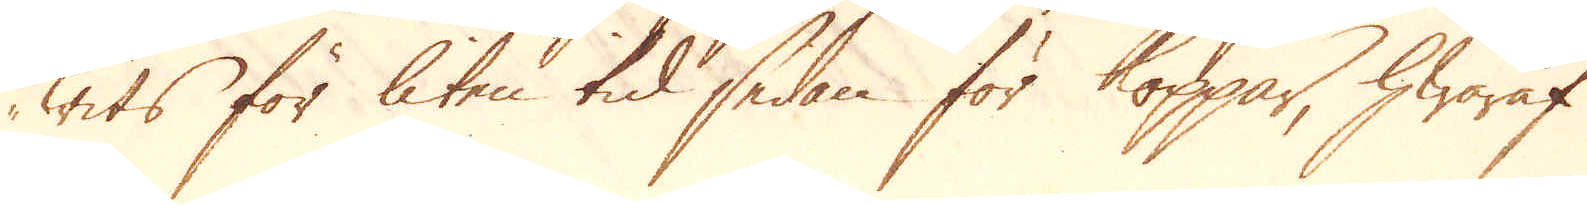wits för liten tid sedan för Koppar, hwaraf
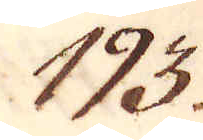193.
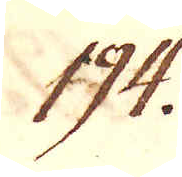194.
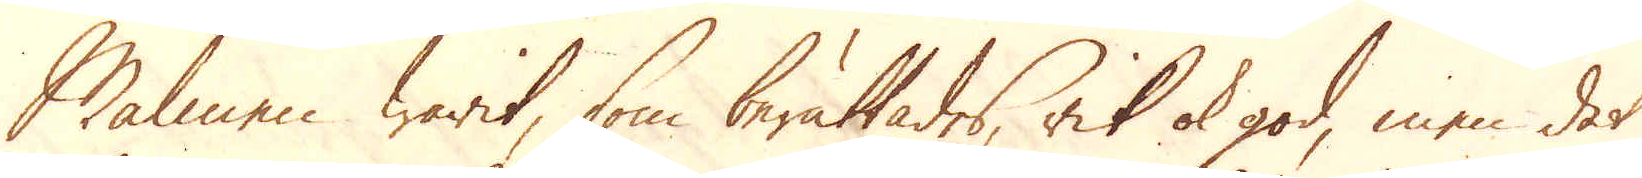Malmen warit, som berättades, rik ok god, men det
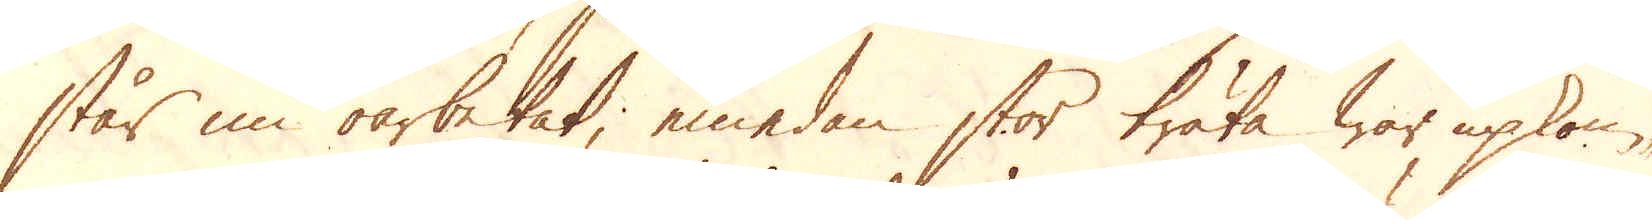står nu oarbetat; emedan stor träta war upkom-
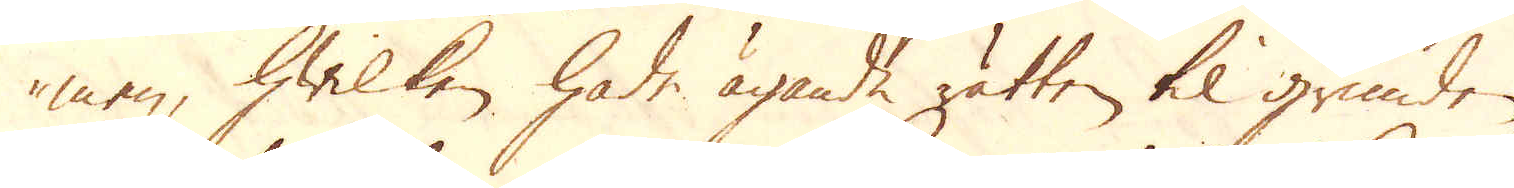men, hwilken hade ägande rätten til grunden.
